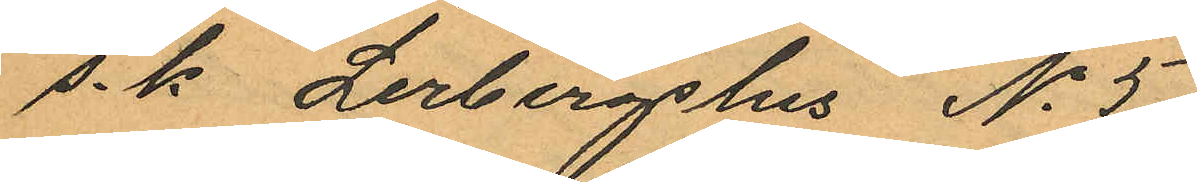s.k. Lerbergshus No 5
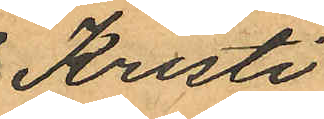Kristi¬
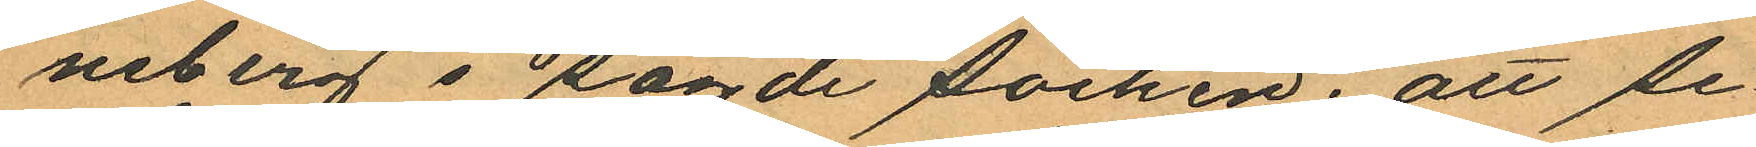neberg i sagde socken; att se¬
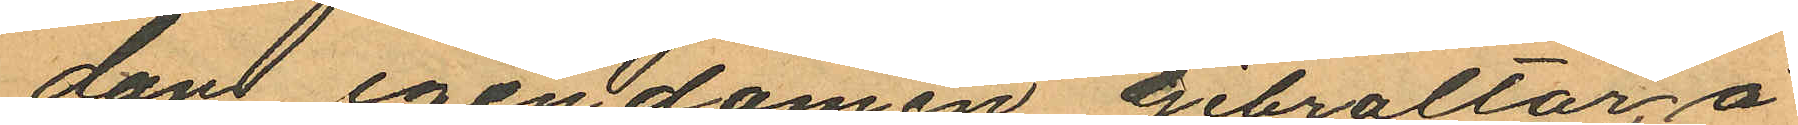dant egendomen Gibraltar, å
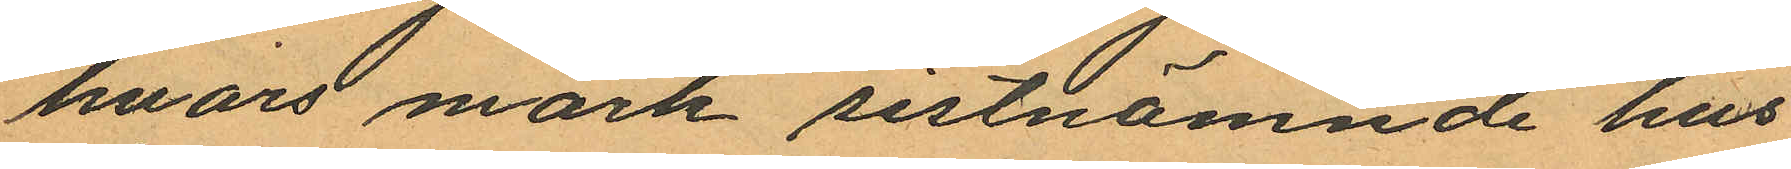hvars mark sistnämnde hus
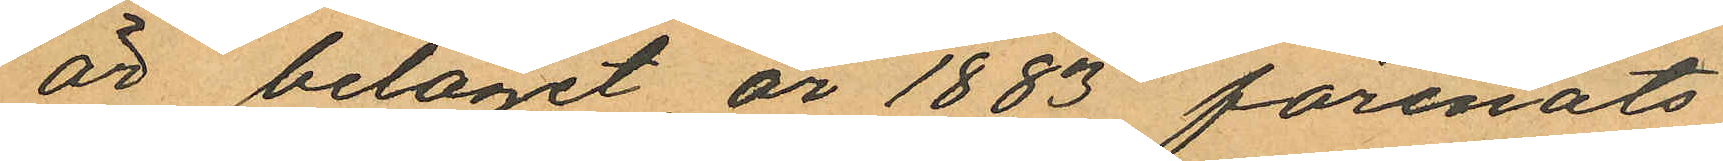är beläget, år 1883 förenats
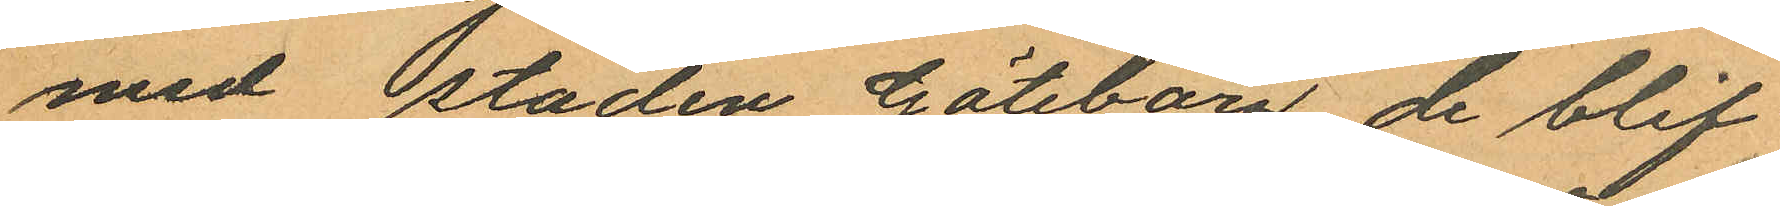med staden Göteborg de blif¬
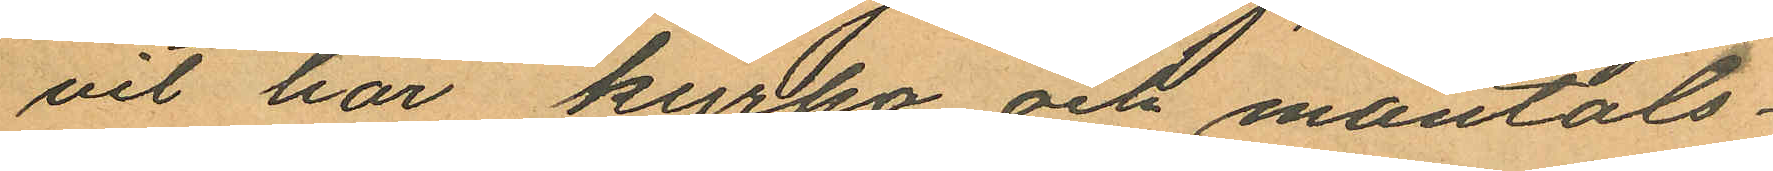vit här kyrko och mantals¬
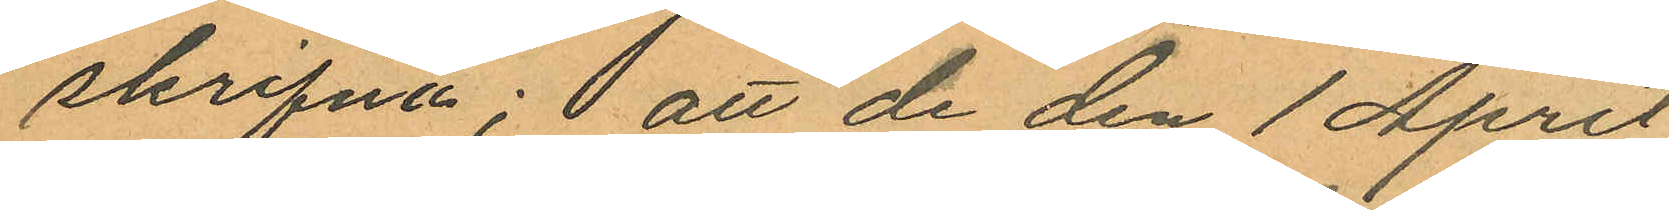skrifna; att de den 1 April
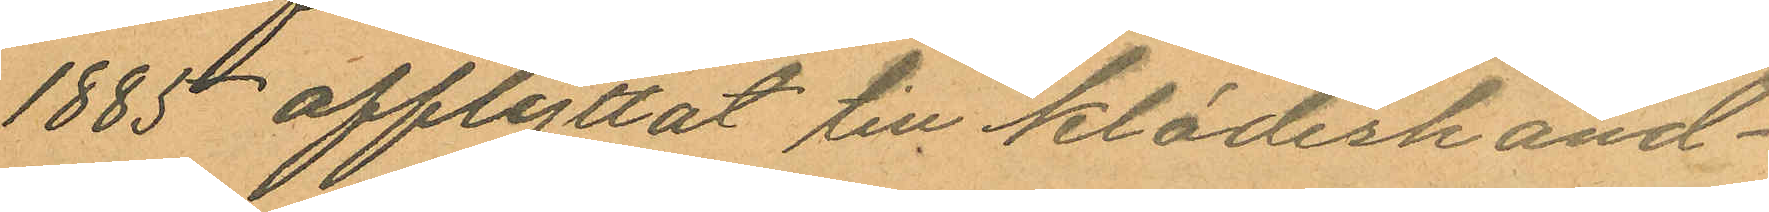1885 afflyttat till klädeshand¬
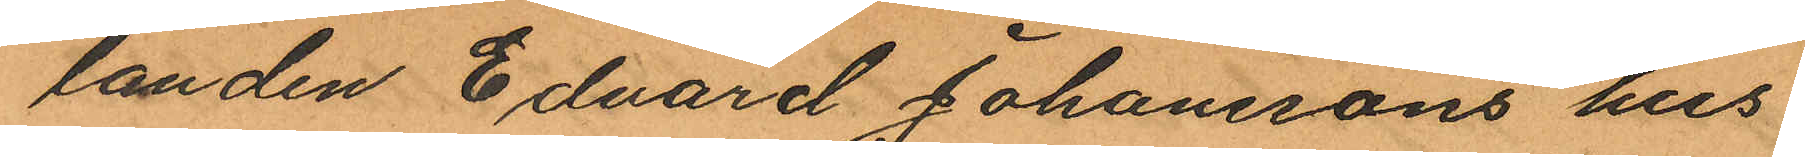landen Edvard Johanssons hus
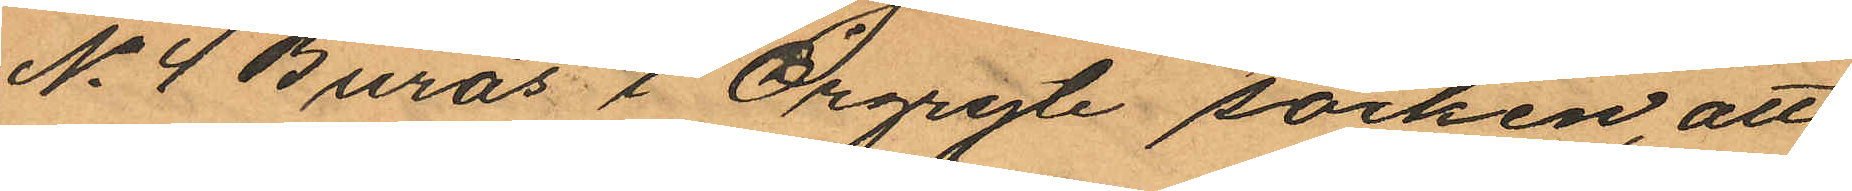No 4 Burås i Örgryte socken, att
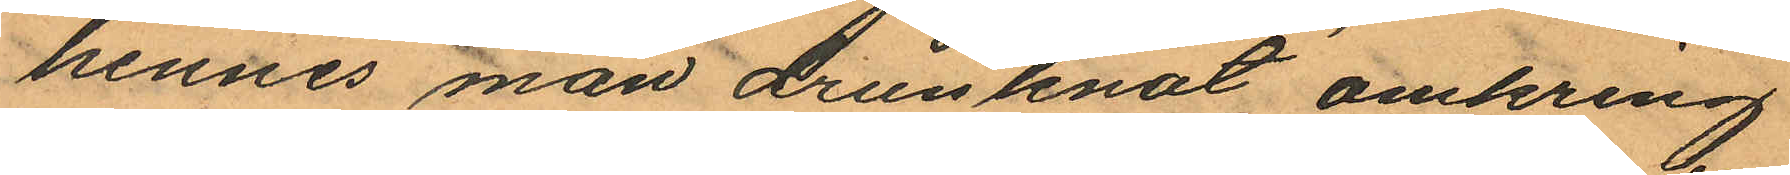hennes man drunknat omkring
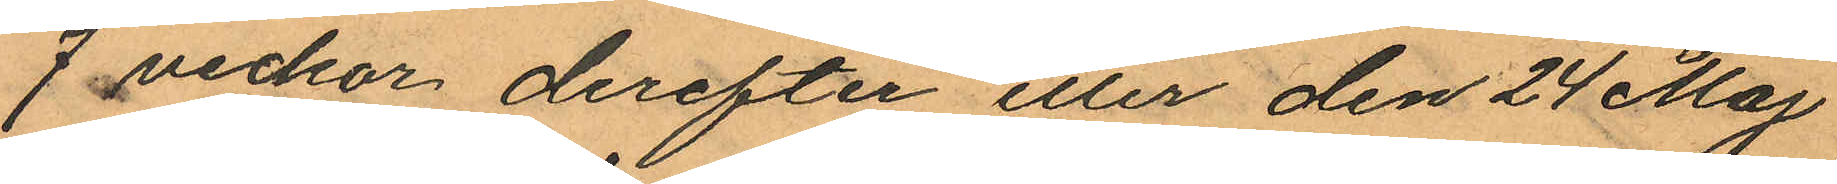7 veckor derefter eller den 24 Maj
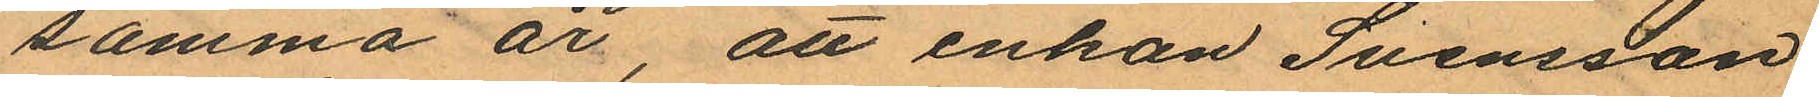samma år, att enkan Svensson
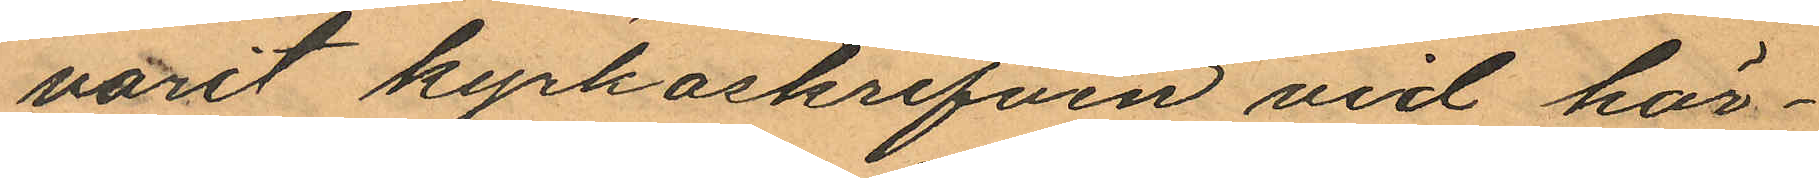varit kyrkoskrifven vid här¬
